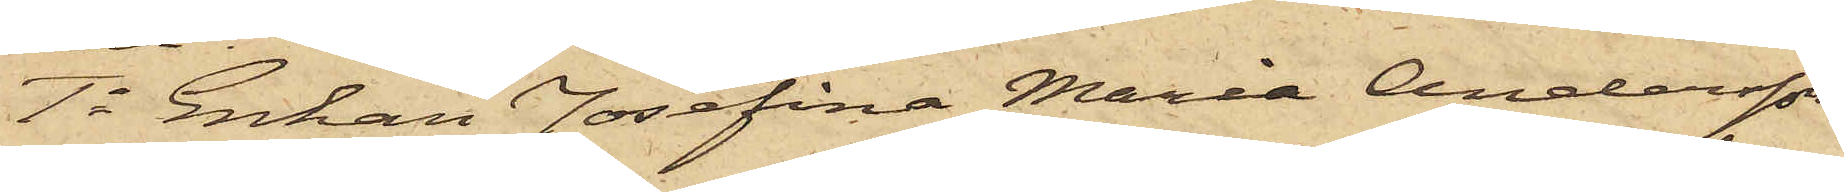1o Enkan Josefina Maria Andersson
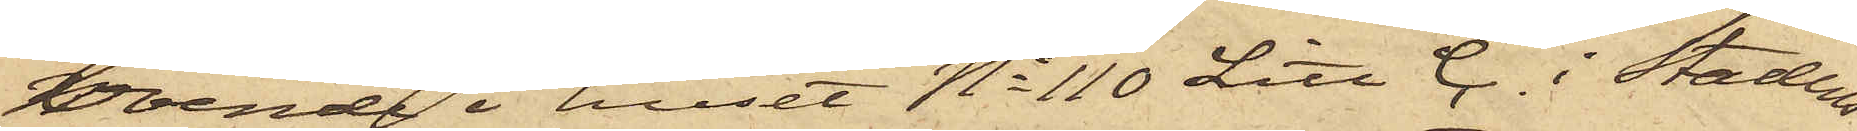boende i huset No 110 Litt C i Stadens
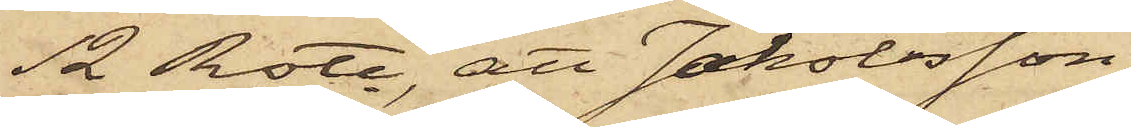12 Rote, att Jakobsson
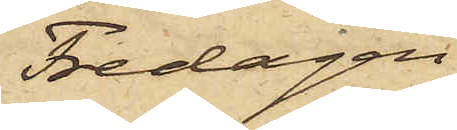Fredagen
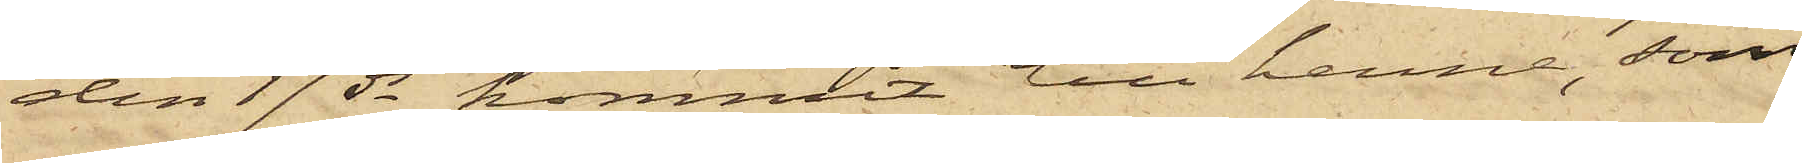den 17 ds kommit till henne, som
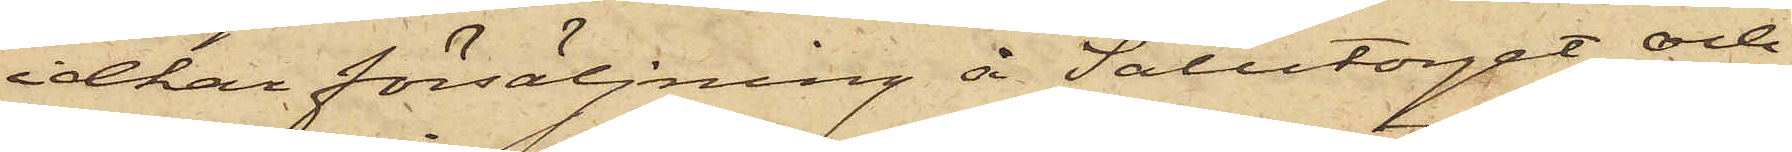idkar försäljning å Salutorget och
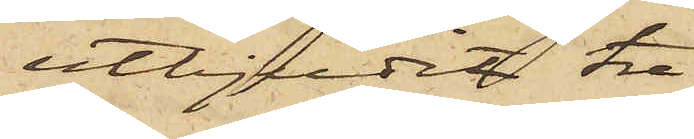utbjudit tre
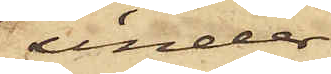under¬
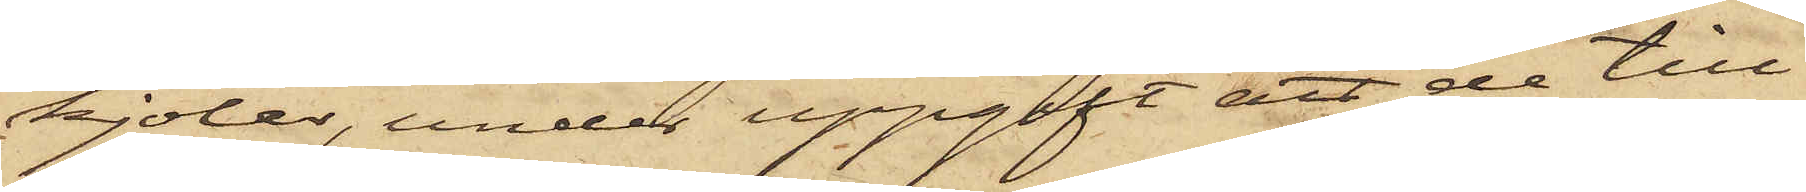kjolar, under uppgift att de till¬
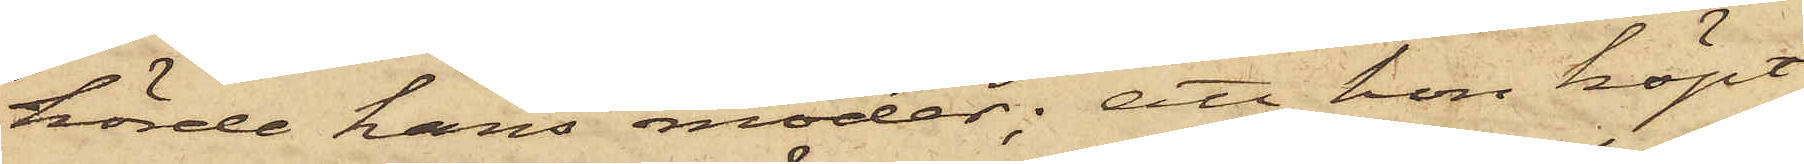hörde hans moder; att hon köpt
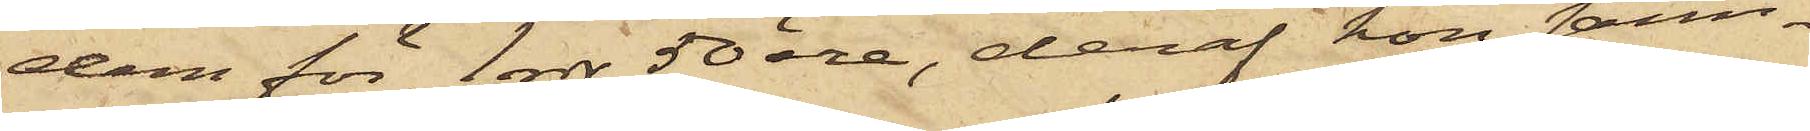dem för 1 rdr 50 öre, deraf hon sam¬
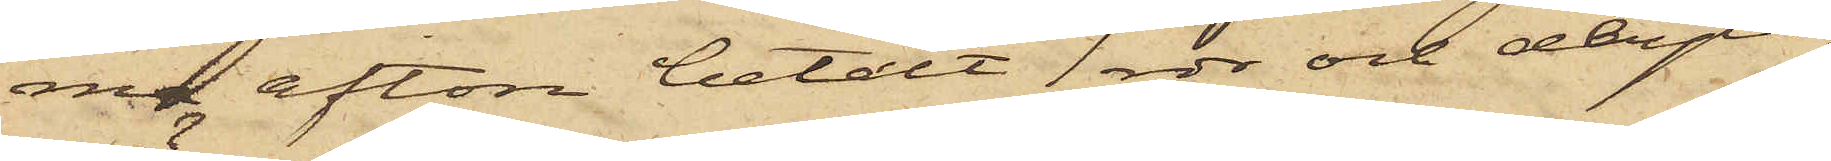na afton betalt 1 rdr och depå¬
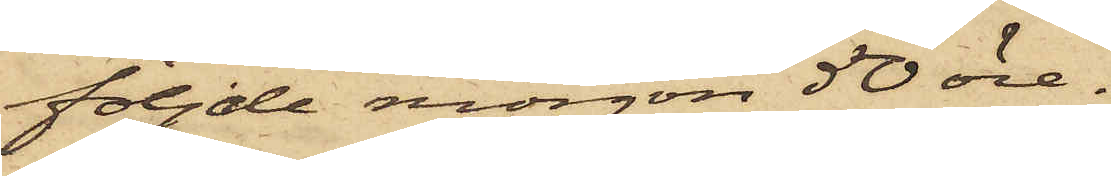följde morgon 50 öre.
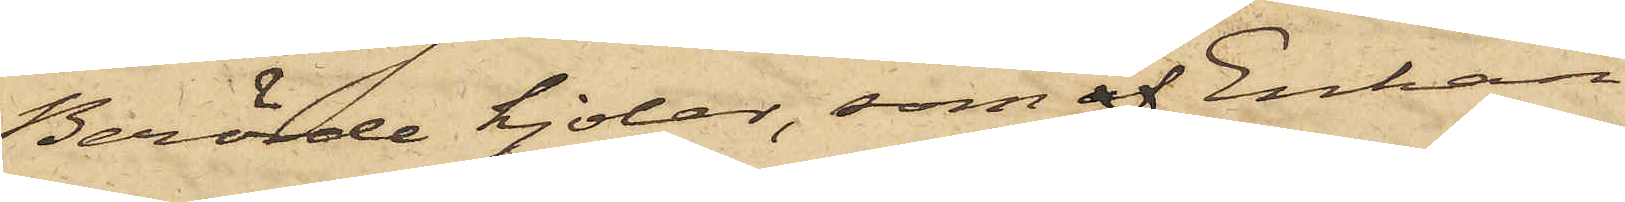Berörde kjolar, som af Enkan
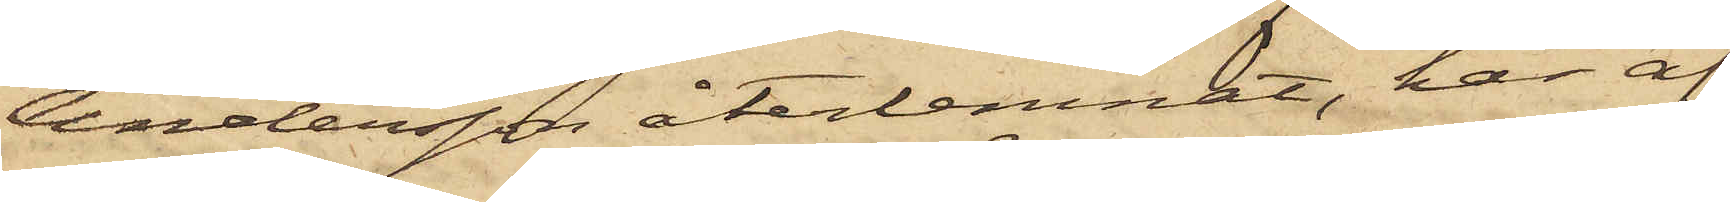Andersson återlemnat, har af
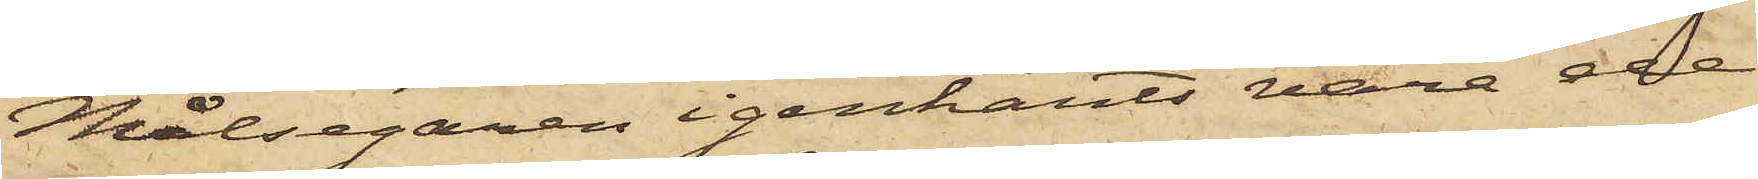Målsegaren igenkänts vara de
